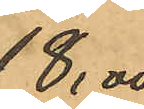18,00
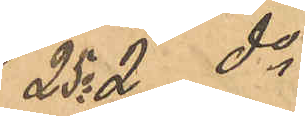25o 2 do
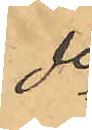do
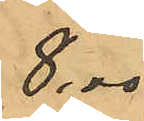8,00
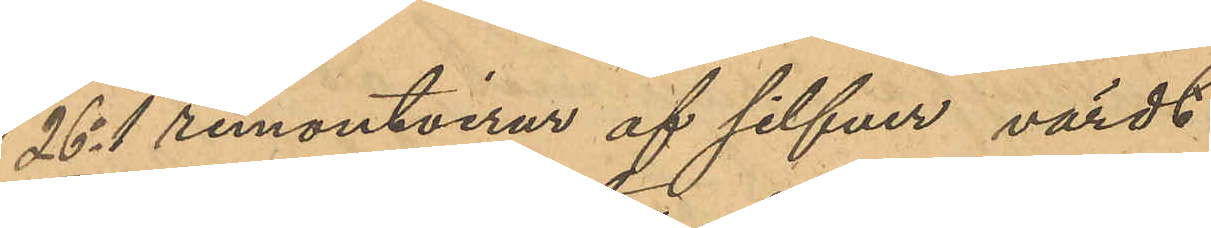26o 1 remontoirur af silfver värdt
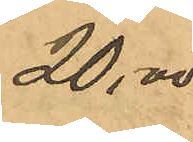20,00
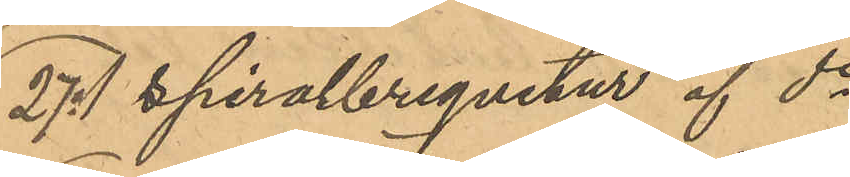27o 1 spiralbrequetur af do
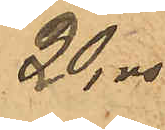20,00
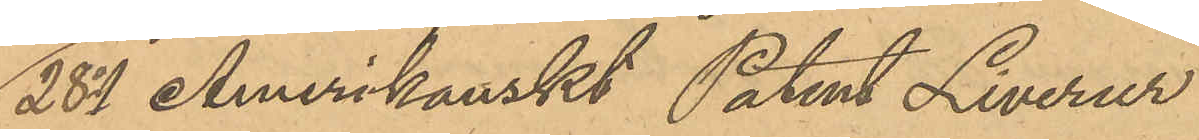28o 1 Amerikanskt Patent Liverur
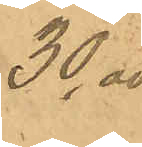30,00
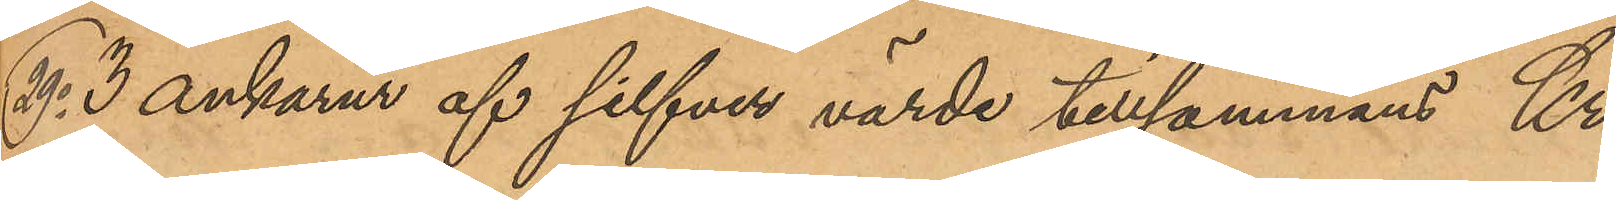29o 3 ankarur af silfver värde tillsammans Kr.
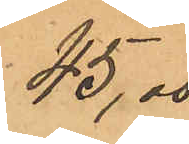45,00
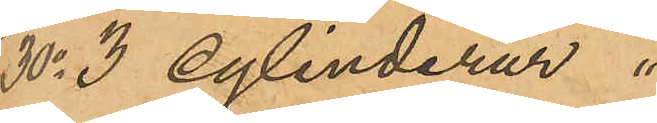30o 3 cylinderur "
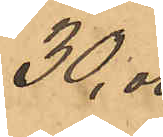30,00
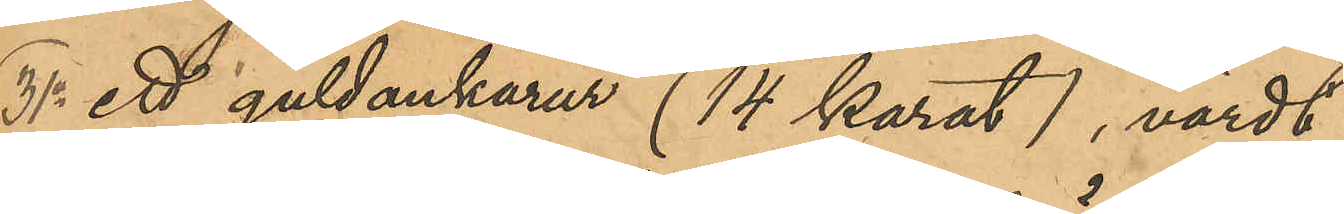31o ett guldankarur (14 karat), värdt
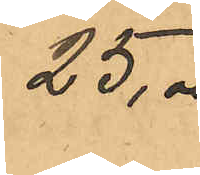25,00
